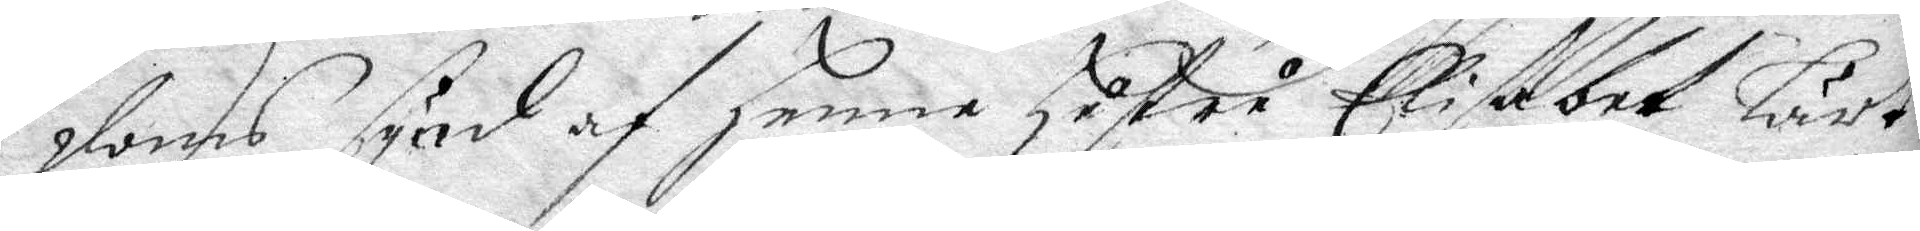doms synd af henne hustru Elisabet lärt
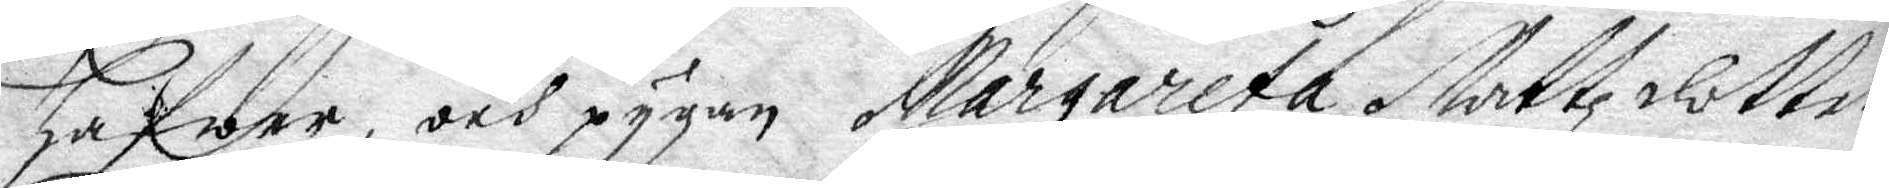hafwer, och pygan Margareta Mattzdotter
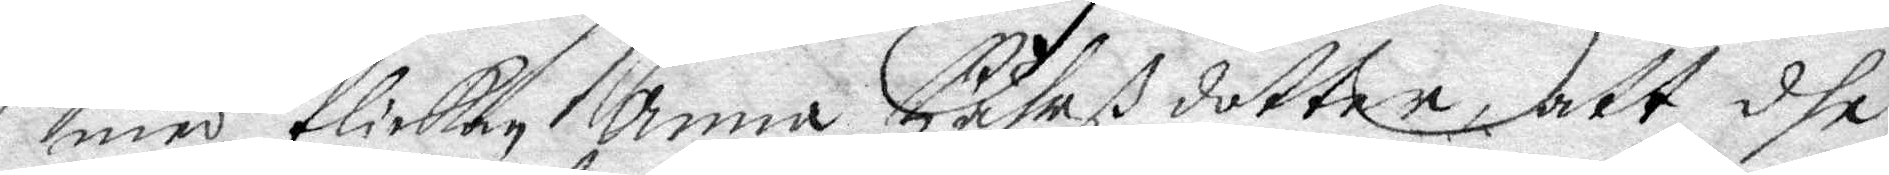med flickan Anna Pährß dotter, att dhe
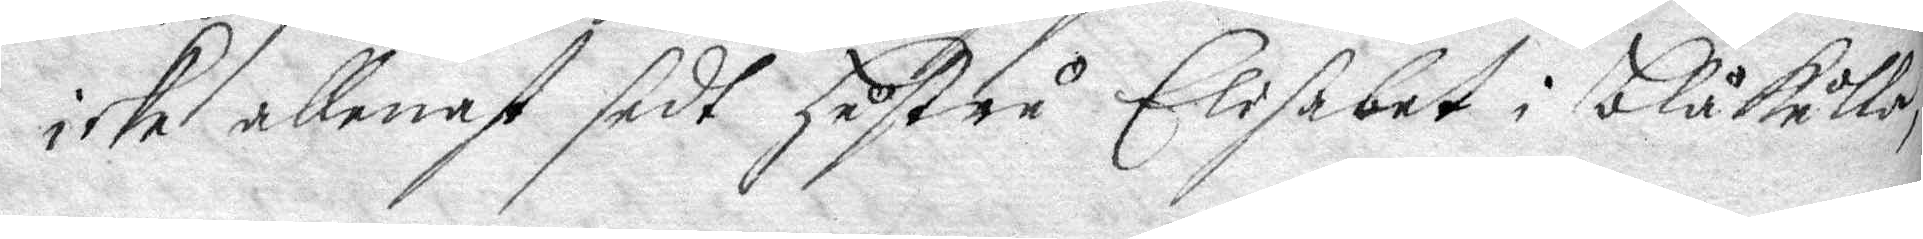icke allenast sedt hustru Elisbet i blåkulla,
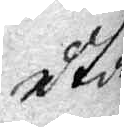utan
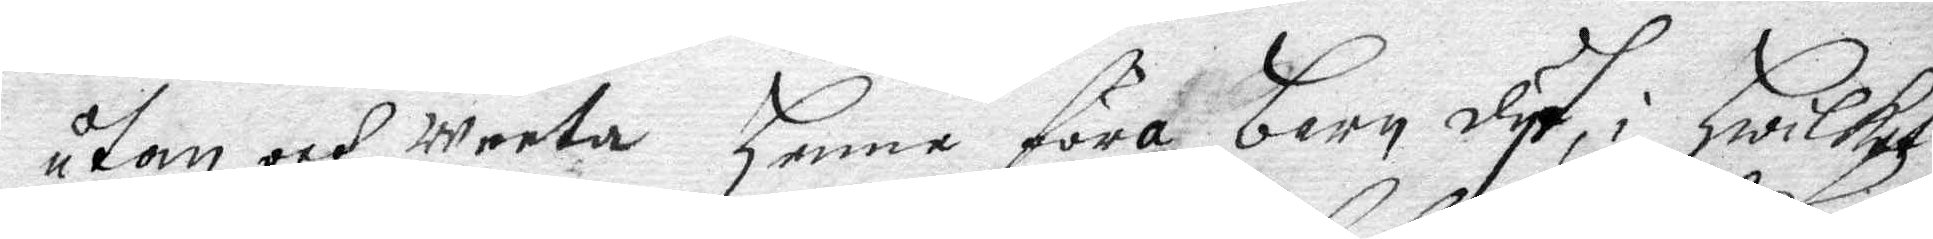utan och weeta henne föra barn dyt, hwilket
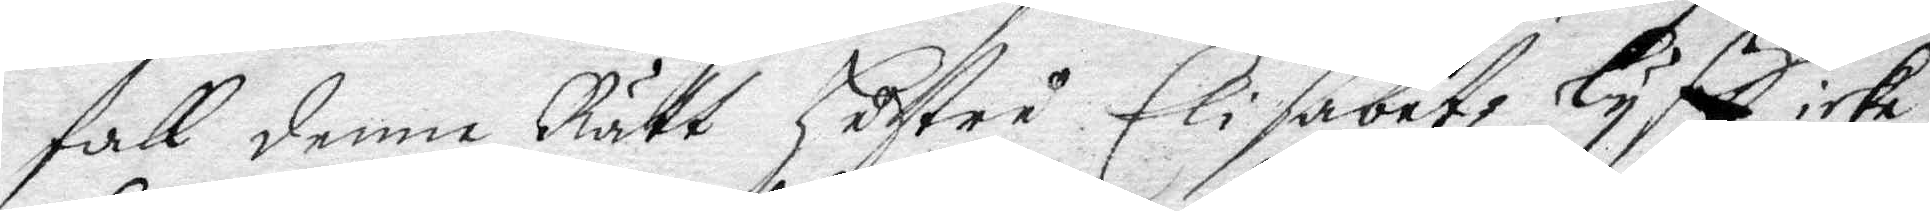fall denne Rätt hustru Elisabetz lyff icke
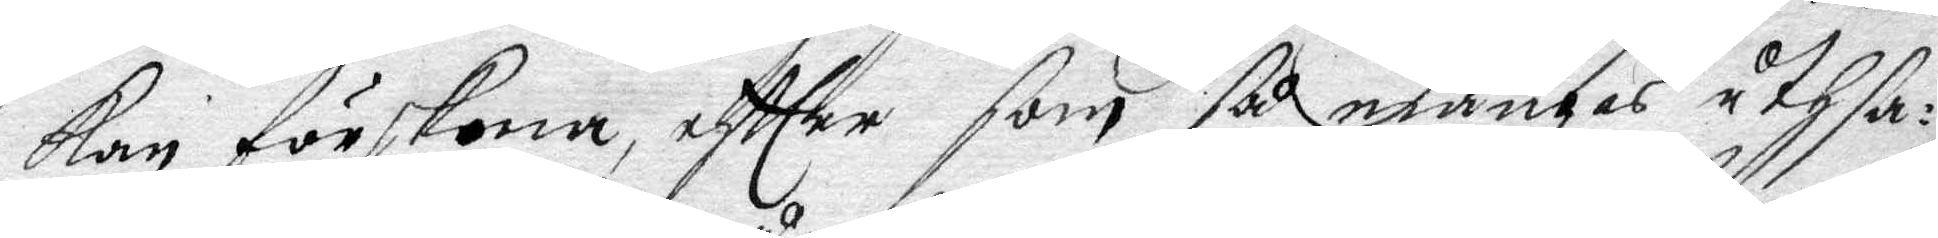kan förskona, eftter som så många uthsa¬
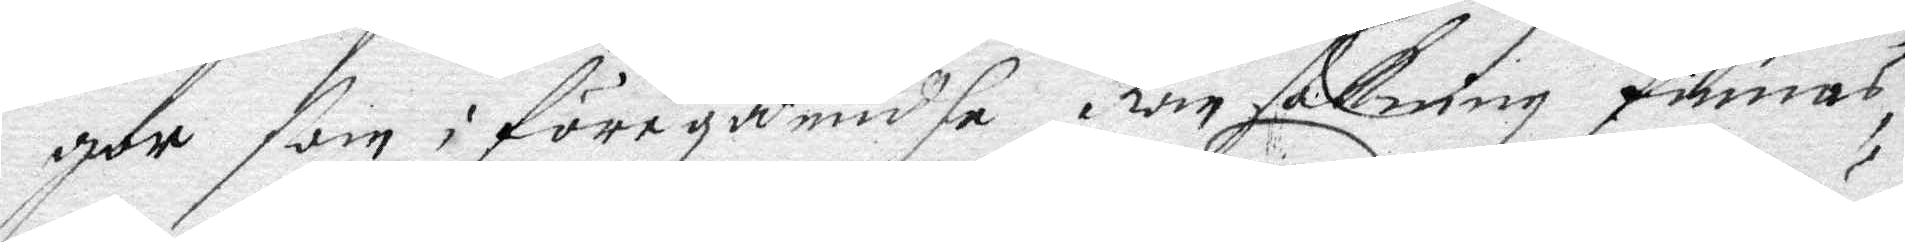gor som i föregåendhe Ransakning finnas,
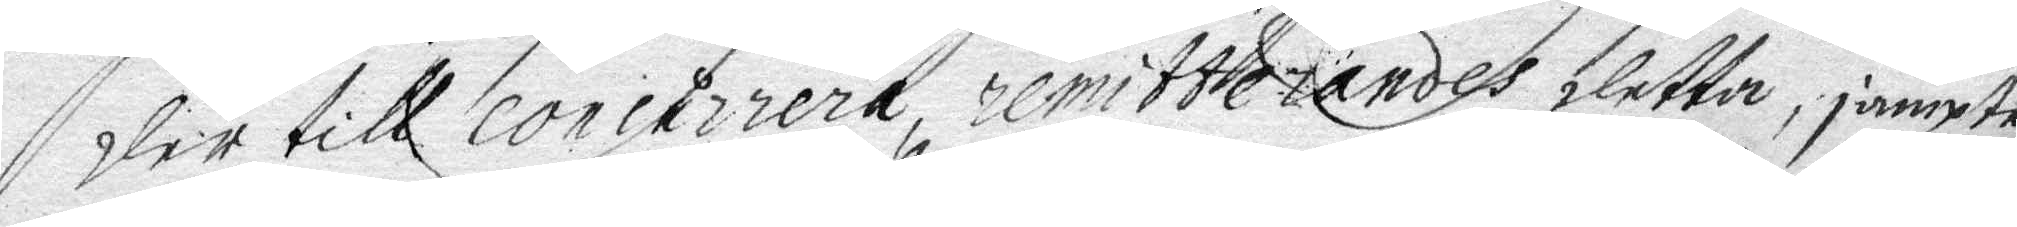der till concurrera, reitterandes detta, jämpte
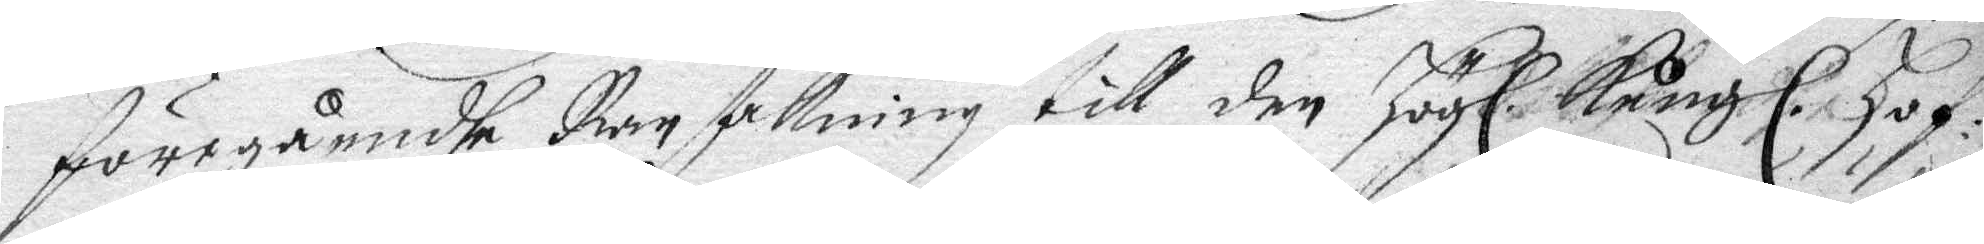föregåendhe Ransakning till den Högl. Kongl. Hof¬
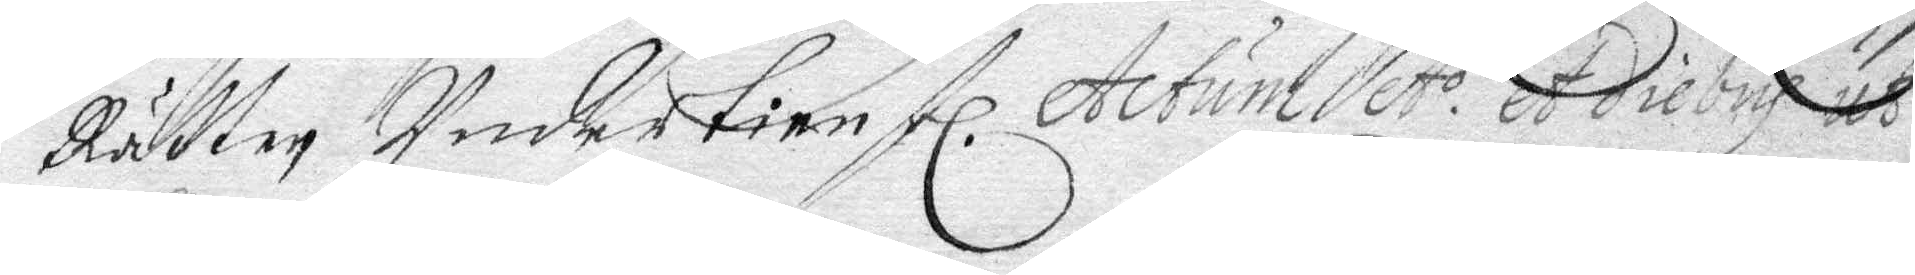Rätten Undertienstl. Actum A.o et diebus us
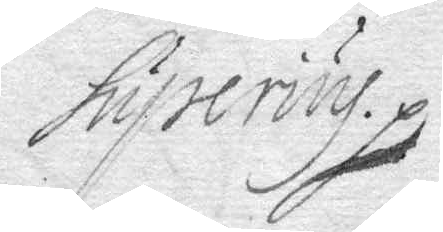superius.
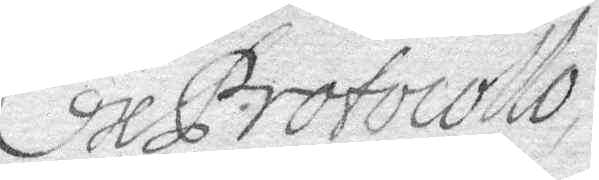Ex Protocollo
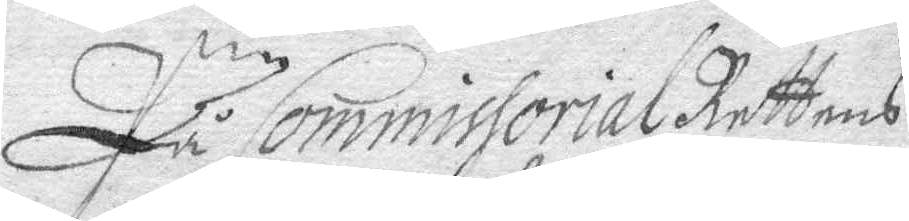På Commissorial Rättens
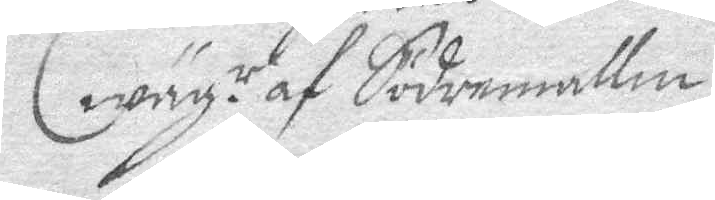wäg.r af Södermallm
